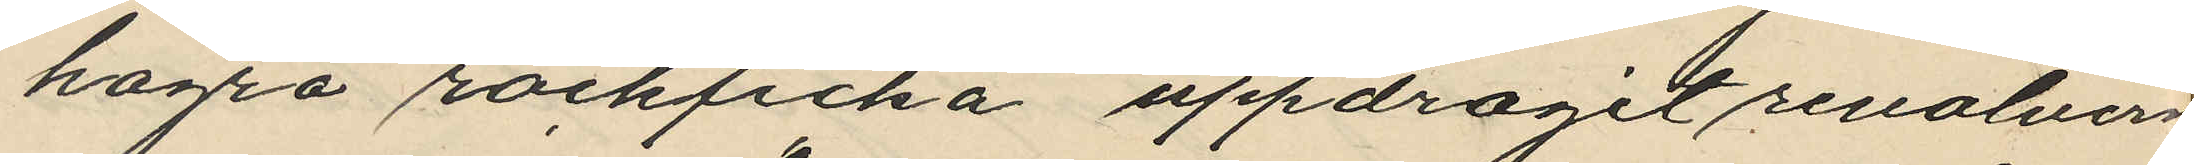högra rockficka uppdragit revolvern
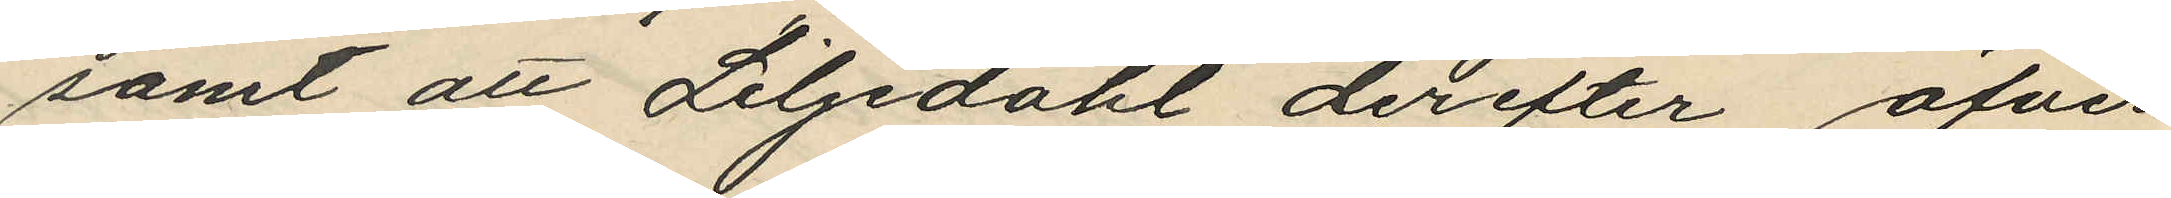samt att Liljdahl derefter öfver¬
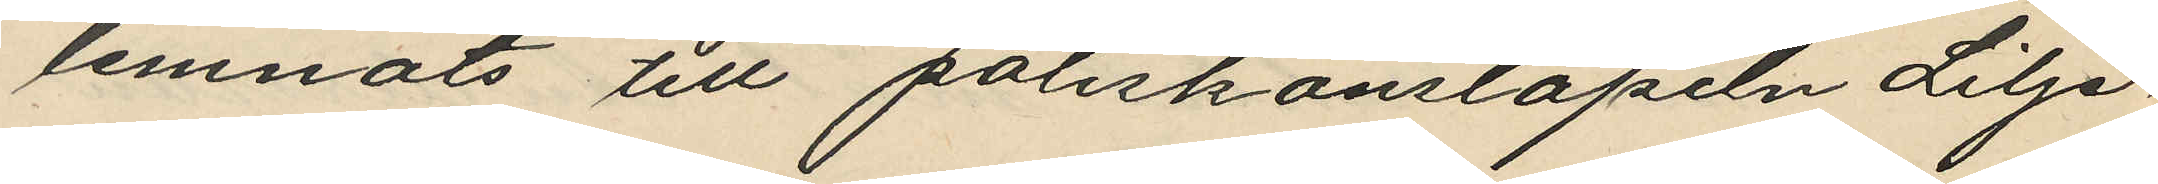lemnats till poliskonstapeln Lilje¬
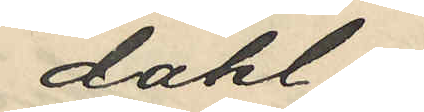dahl.
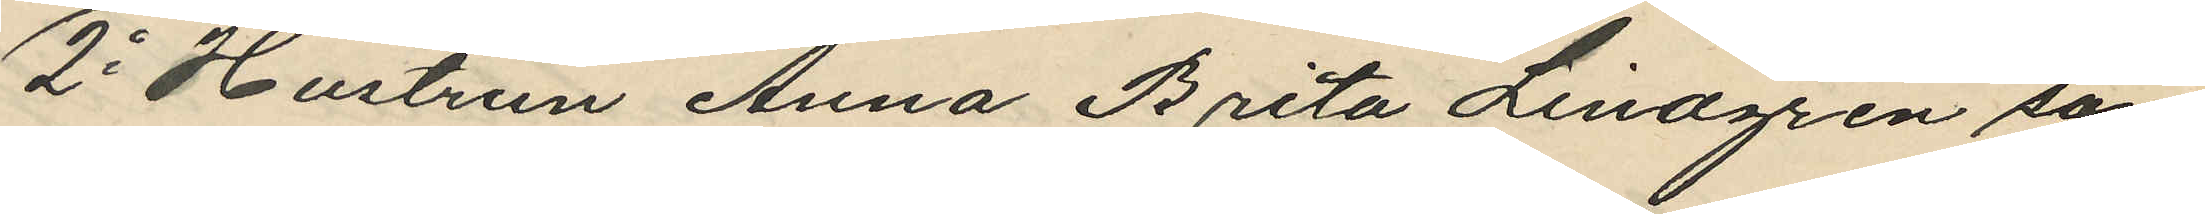2o Hustrun Anna Brita Lindgren sam
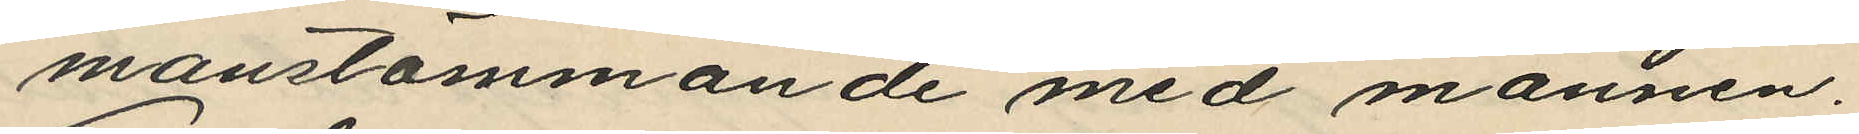manstämmande med mannen.
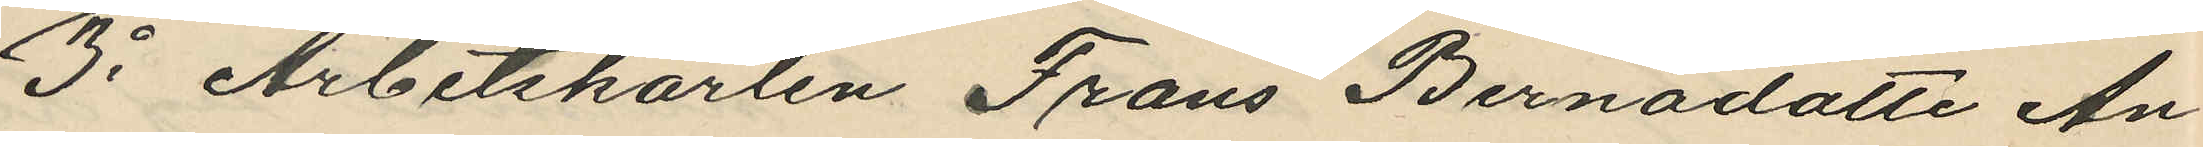3o Arbetskarlen Frans Bernadotte An¬
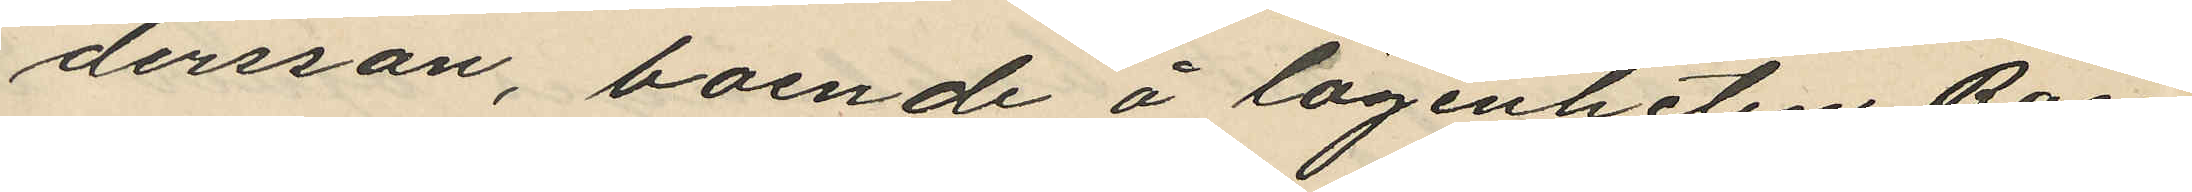dersson, boende å lägenheten Rosen
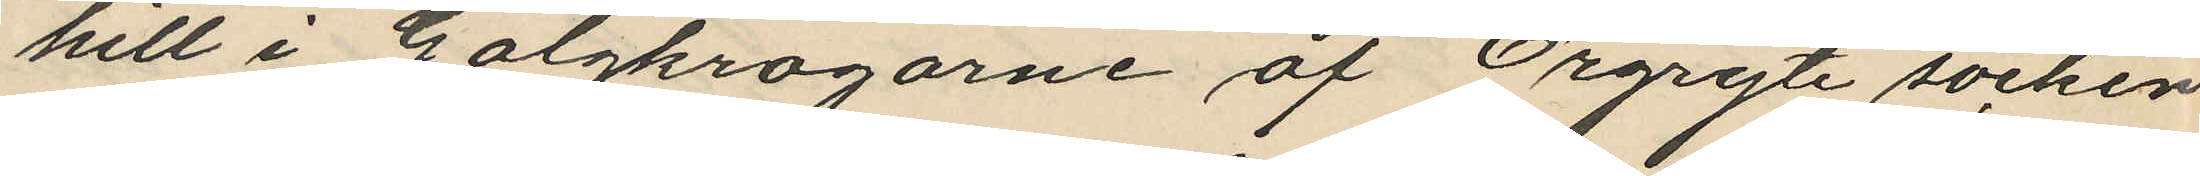hill i Galgkrogarne af Örgryte socken
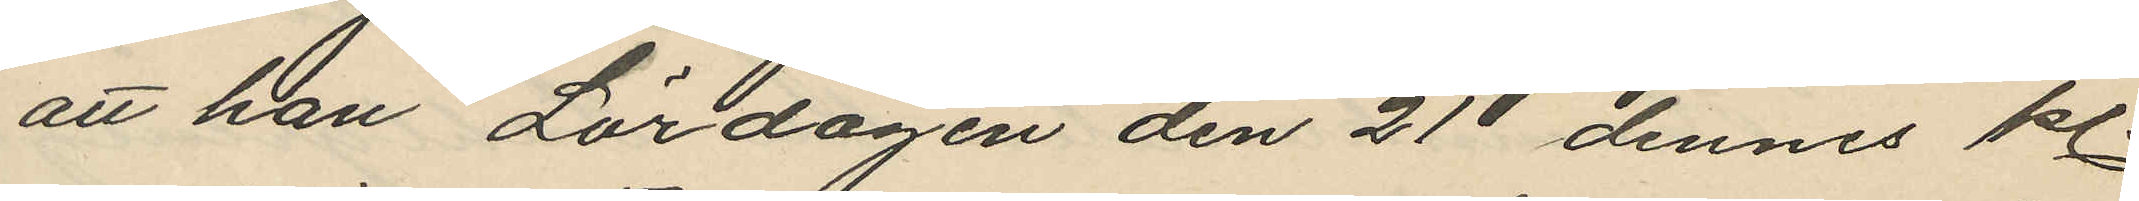att han Lördagen den 21 dennes kl.
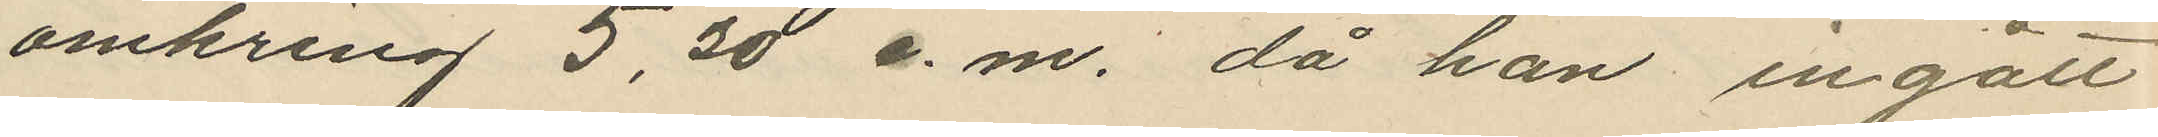omkring 5,30 e.m. då han ingått
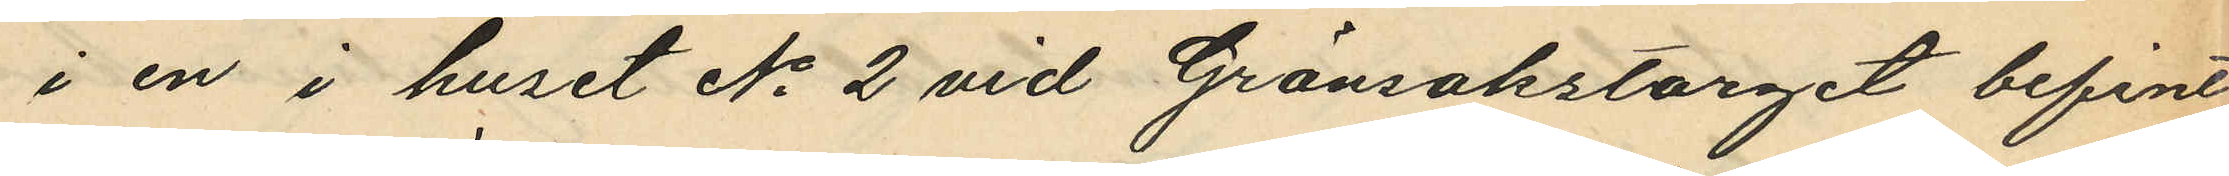i en i huset No 2 vid Grönsakstorget befint¬
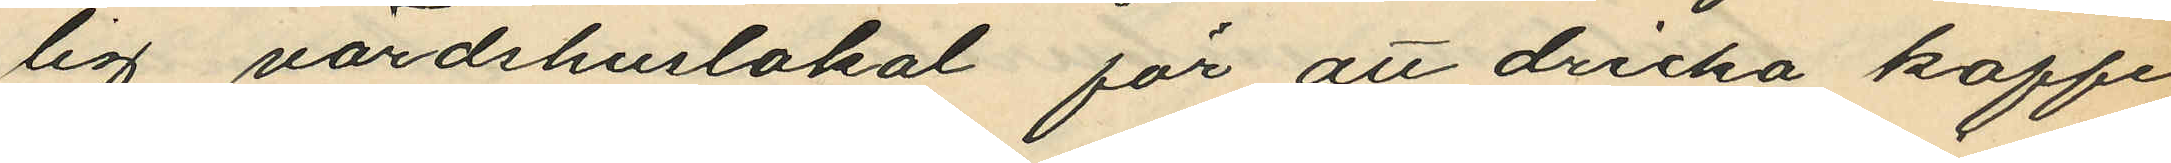lig värdshuslokal för att dricka kaffe,
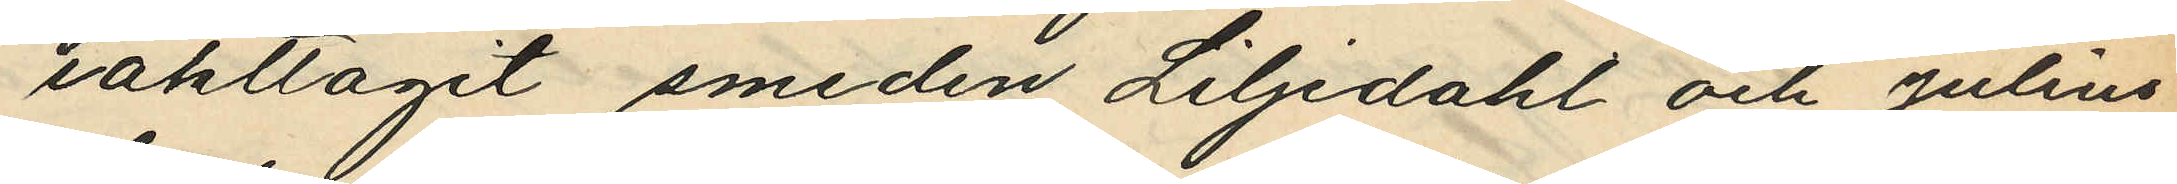iakttagit smeden Liljedahl och Julius
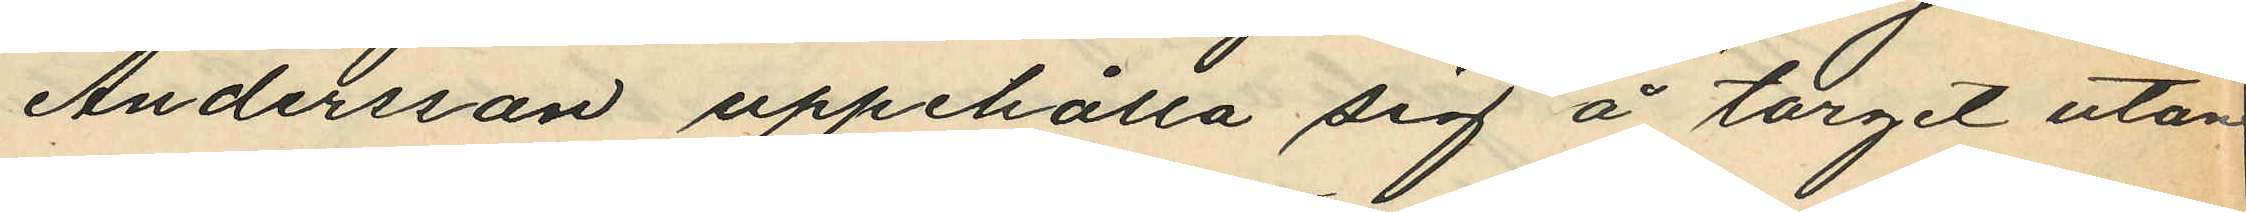Andersson uppehålla sig å torget utan
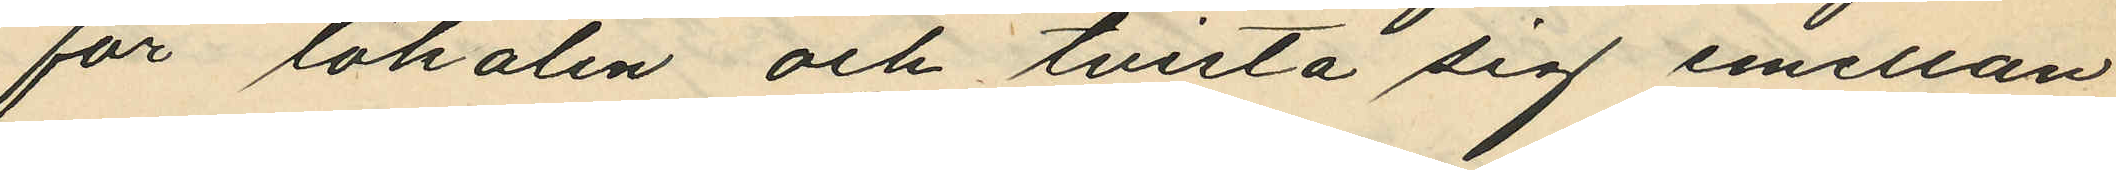för lokalen och tvista sig emellan
